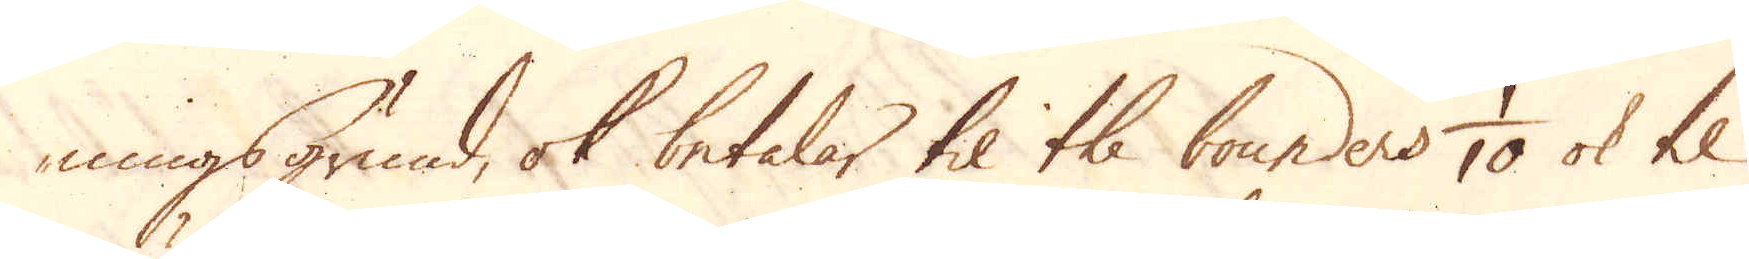ningsgrund, ok betalar til the bounders 1/10 ok til
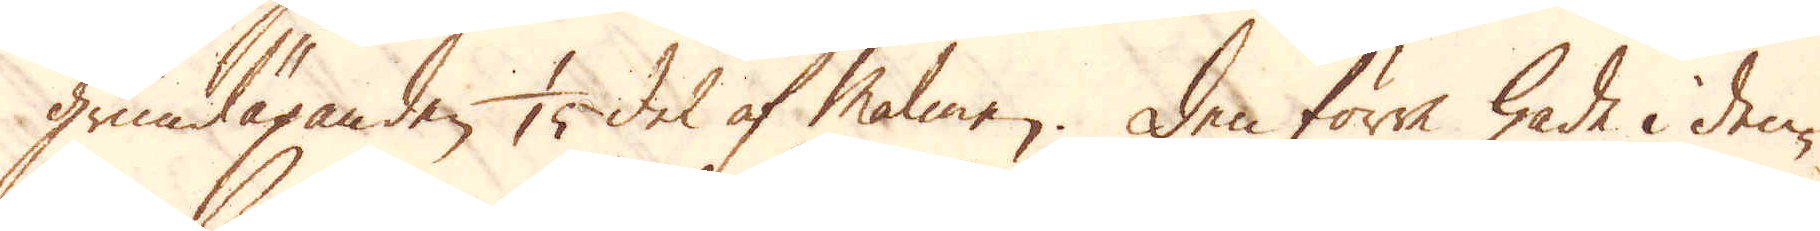grundäganden 1/15 del af Malmen. Den förre hade i den-
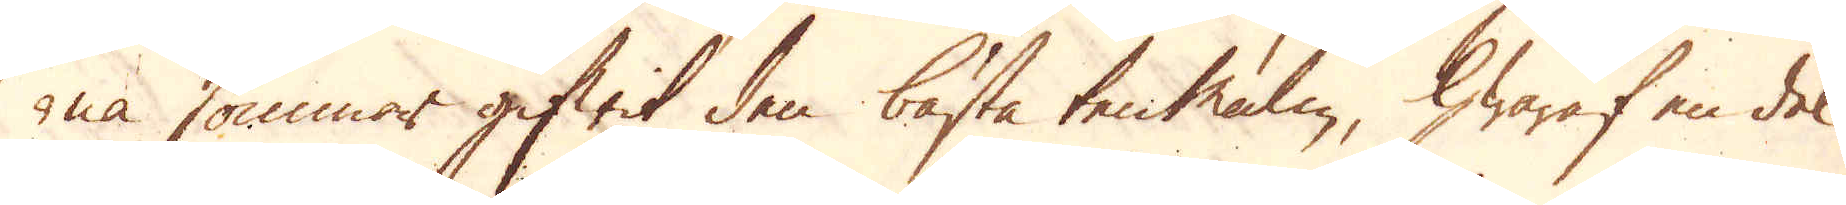na sommar gifwit den bästa ten malm, hwaraf en del
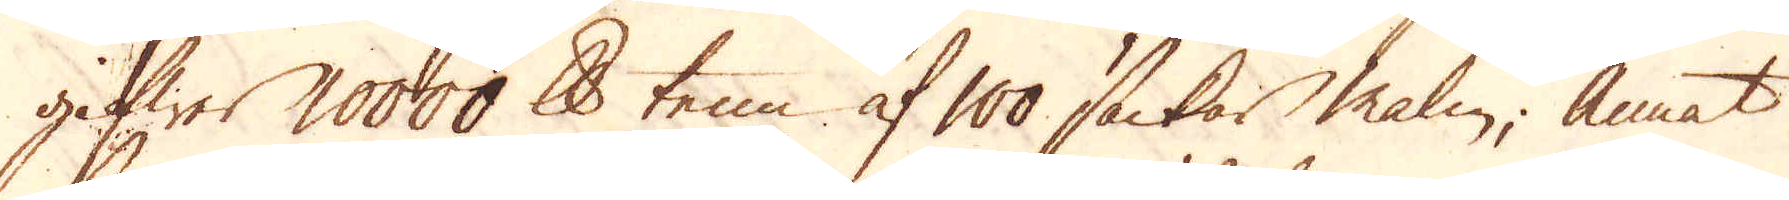gifwer 10000 skålpund tenn af 100 säckar malm, annat
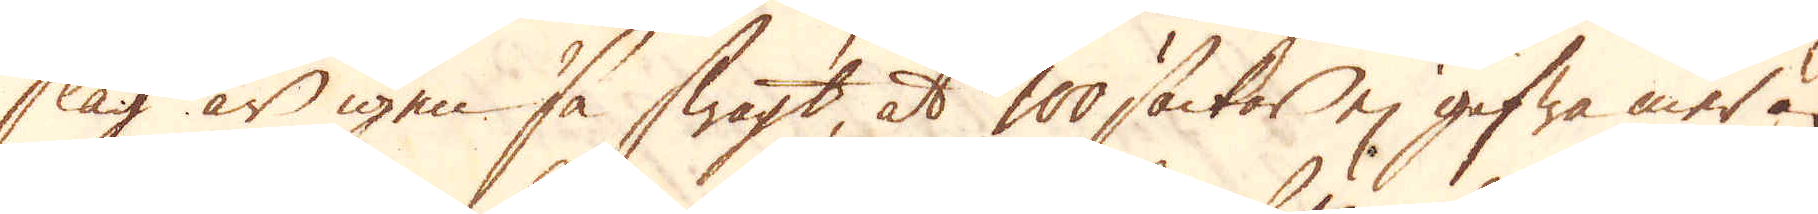slag är igen så swagt, at 100 säckar ej gifwa mer än
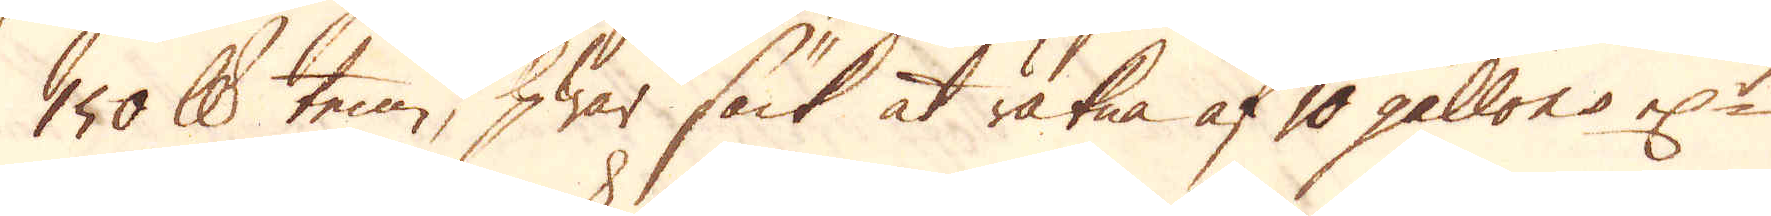150 skålpund tenn, hwar säck at räkna af 10 gallons el:r
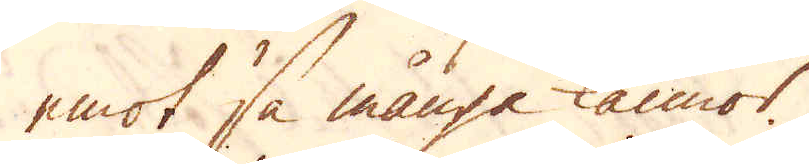emot så många kannor.
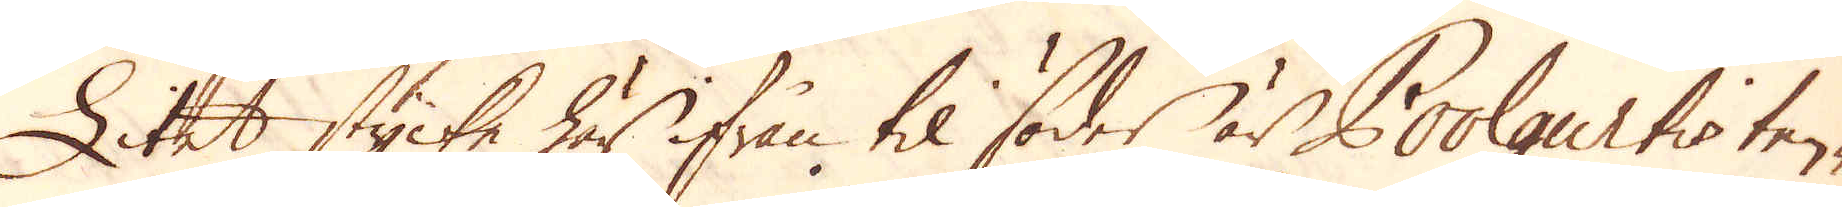Litet stycke här ifrån til söder är Poolgurtis tenn-
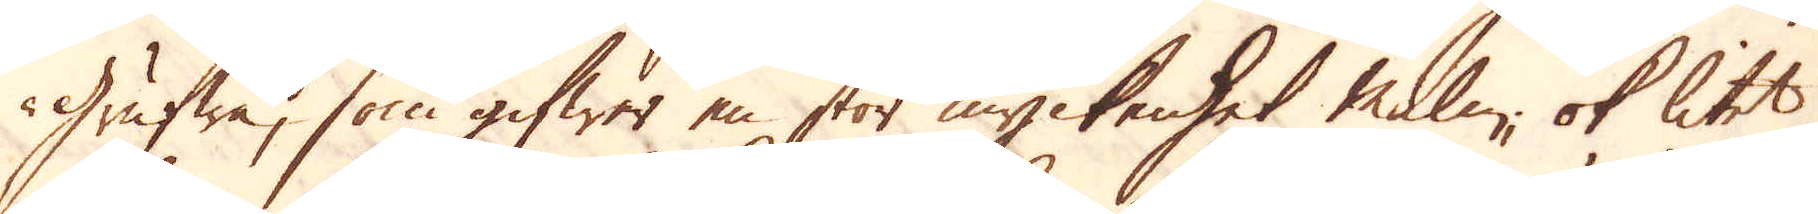Grufwa, som gifwer en stor myckenhet malm, ok litet
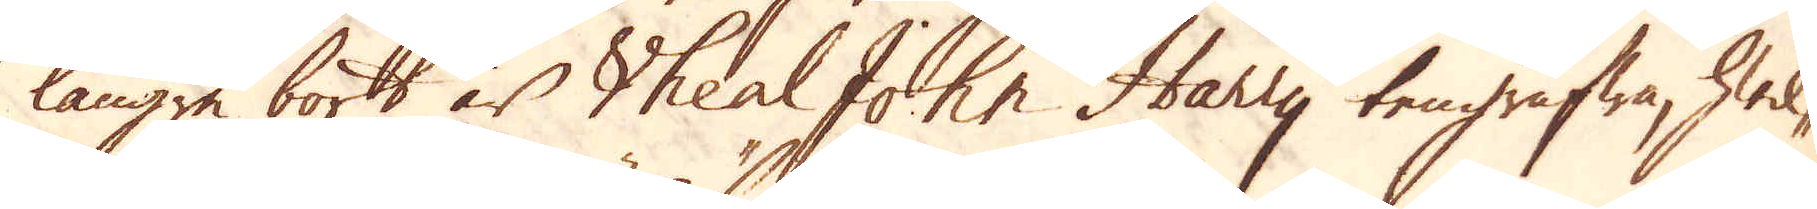längre bort är Vheal John Harry tengrufwa, hwil-
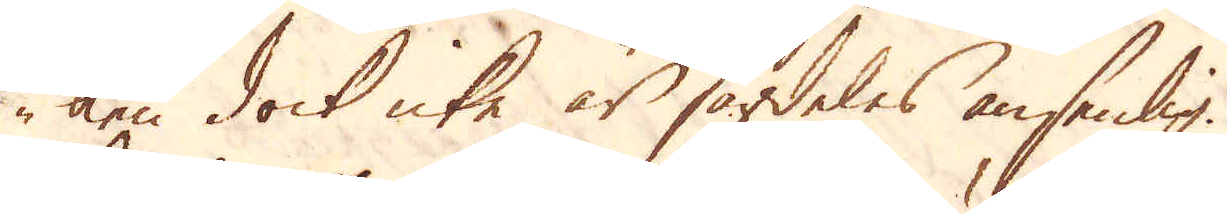ken dock icke är särdeles ansenlig.
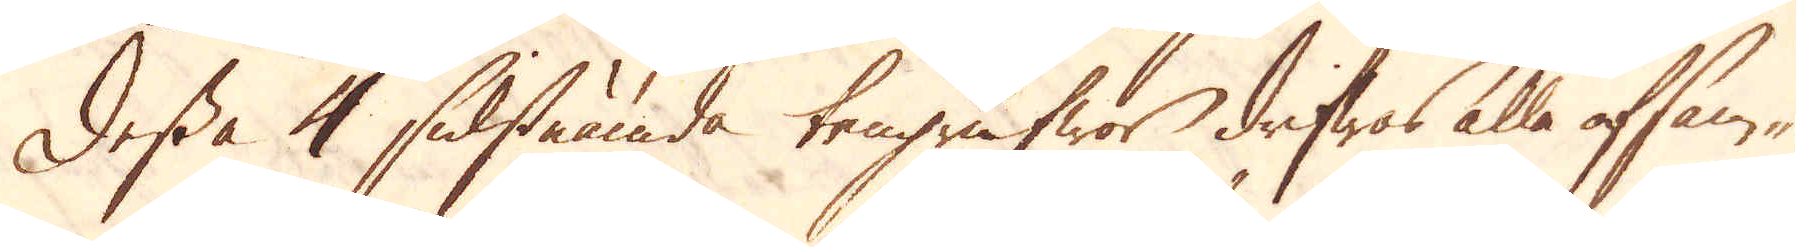Dessa 4 sidstnämda tengrufwor drifwes alla af sam-
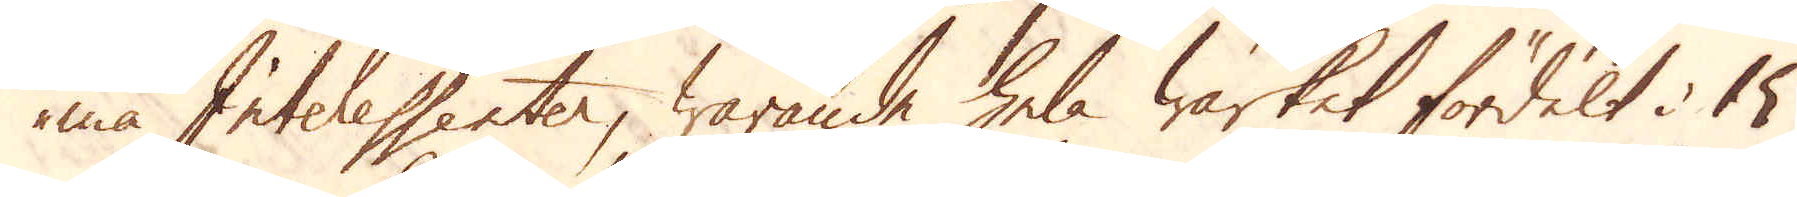ma Interessenter, warande hela Wärket fördelt i 15
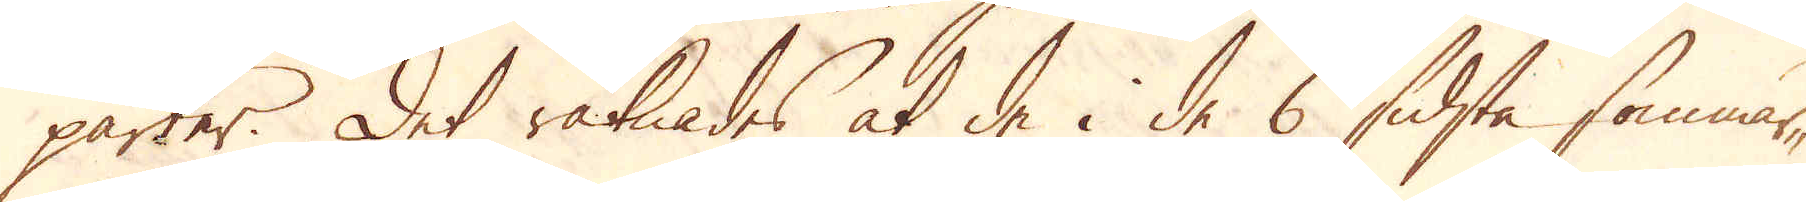parter. Det räknades at de i de 6 sidsta sommar-
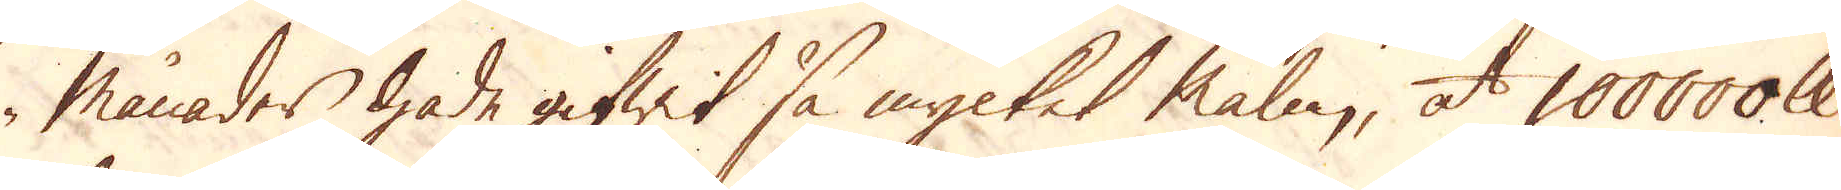månader hade gifwit så mycket malm, at 100000 skålpund
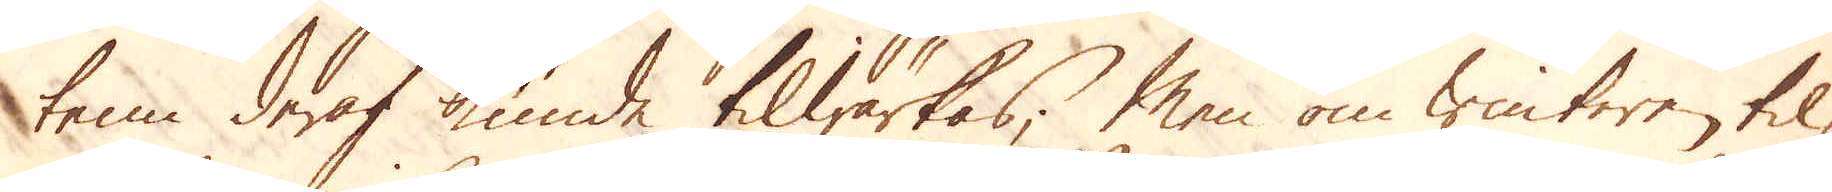tenn deraf kunde tilwärkas; Men om winteren til-
